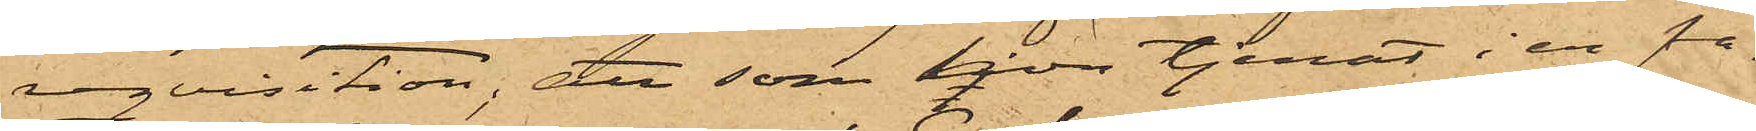reqvisition; att som hon  tjenat i en fa¬
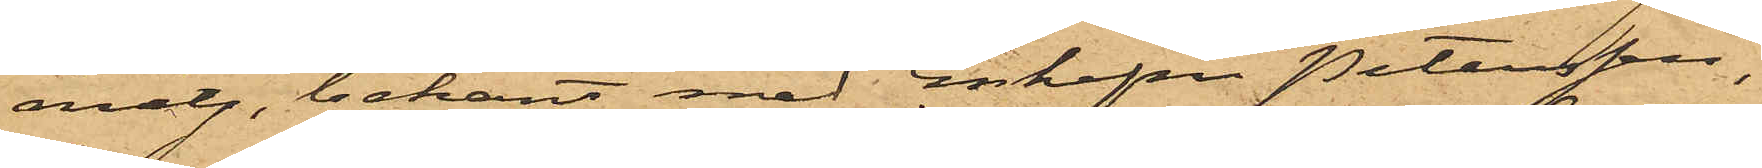milj, bekant med Enkefru Petersson,
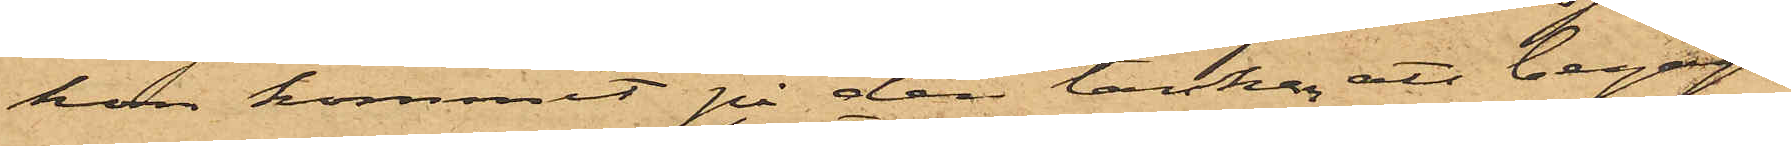hon kommit på den tanken att begagna
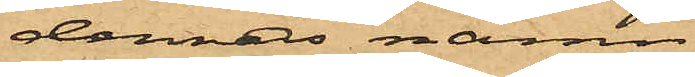dennas namn;
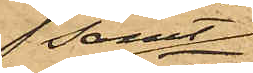 samt
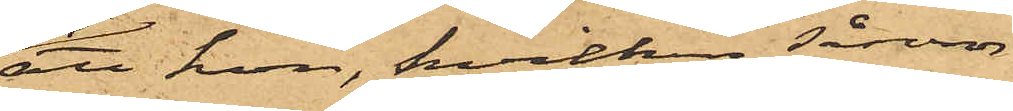att hon, hvilken såsom
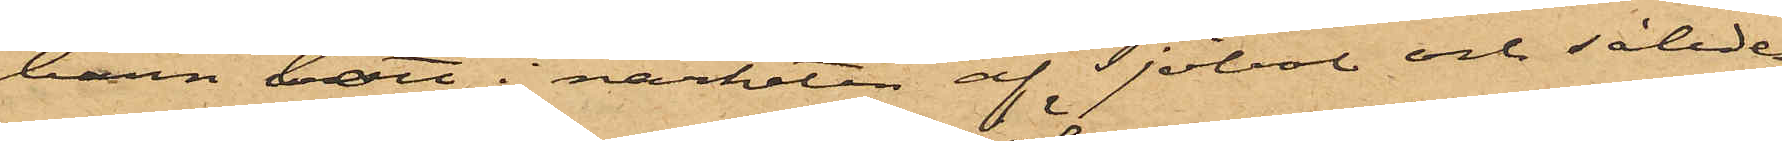barn bott i närheten af Sjöbol och således
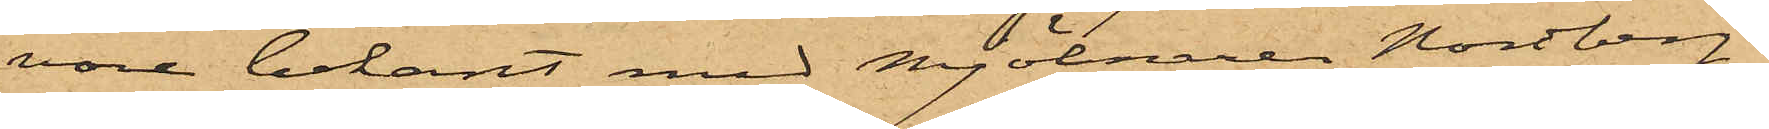vore bekant med Mjölnaren Nordberg,
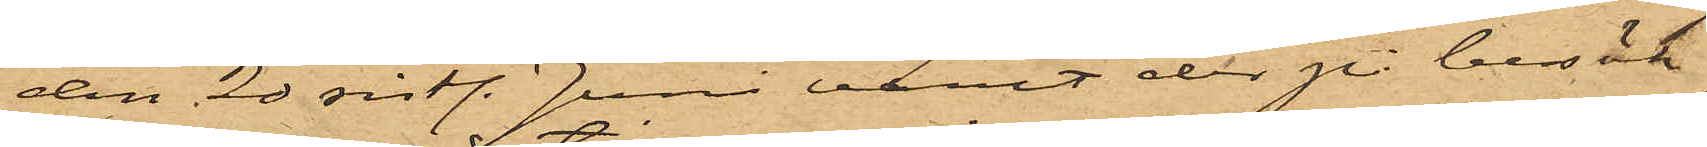den 20 sistl. Juni varit der på besök
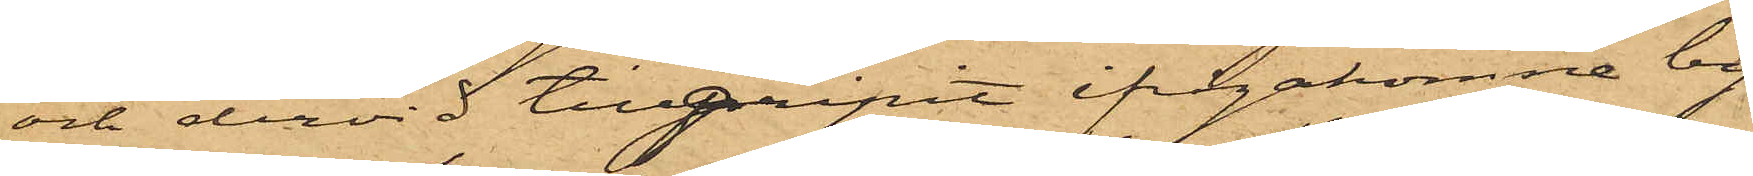och dervid tillgipit ifrågakomne by¬
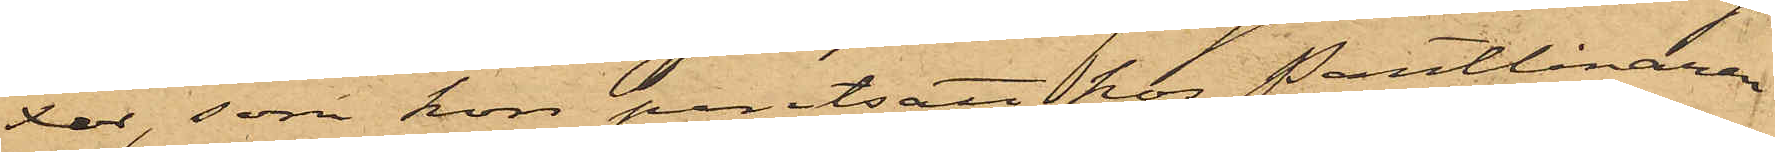xor, som hon pantsatt hos Pantlånaren
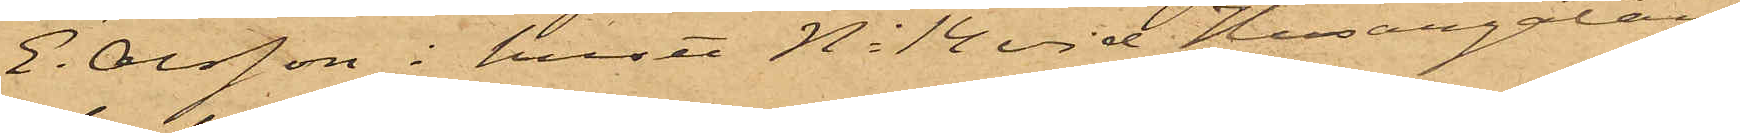E. Olsson i huset No 14 vid Husargatan
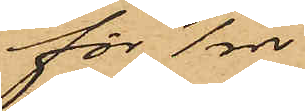för 1 rdr.
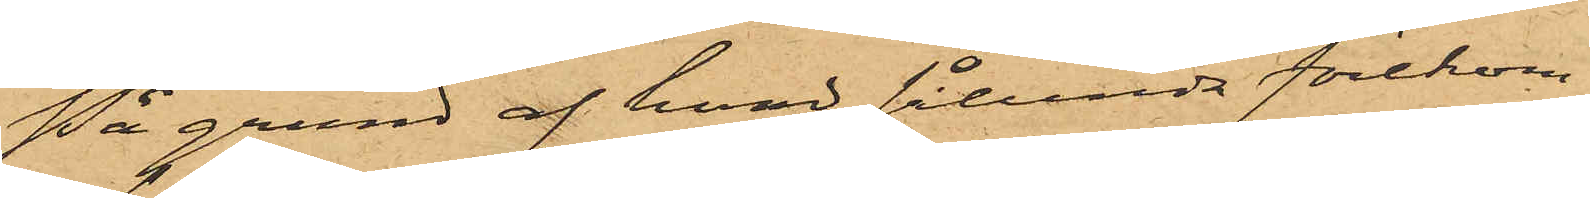På grund af hvad sålunda förekom¬
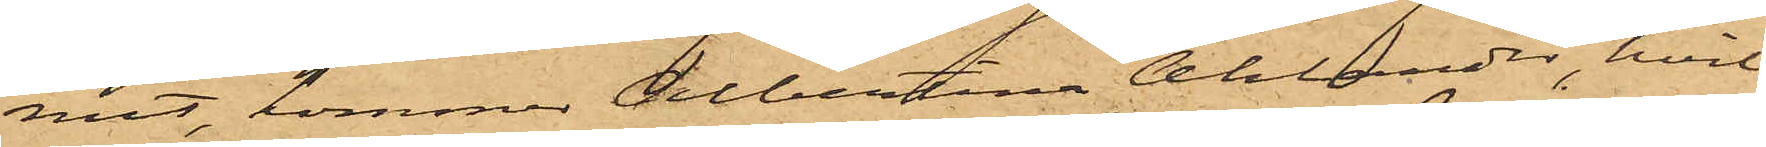mit, kommer Albertina Ahlander, hvil¬
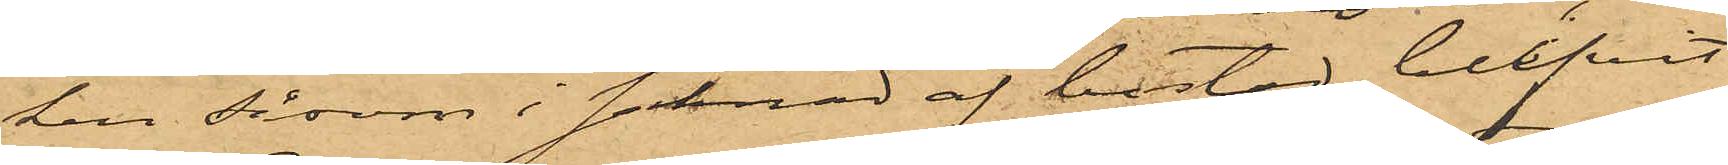ken såsom i saknad af bostad blifvit
